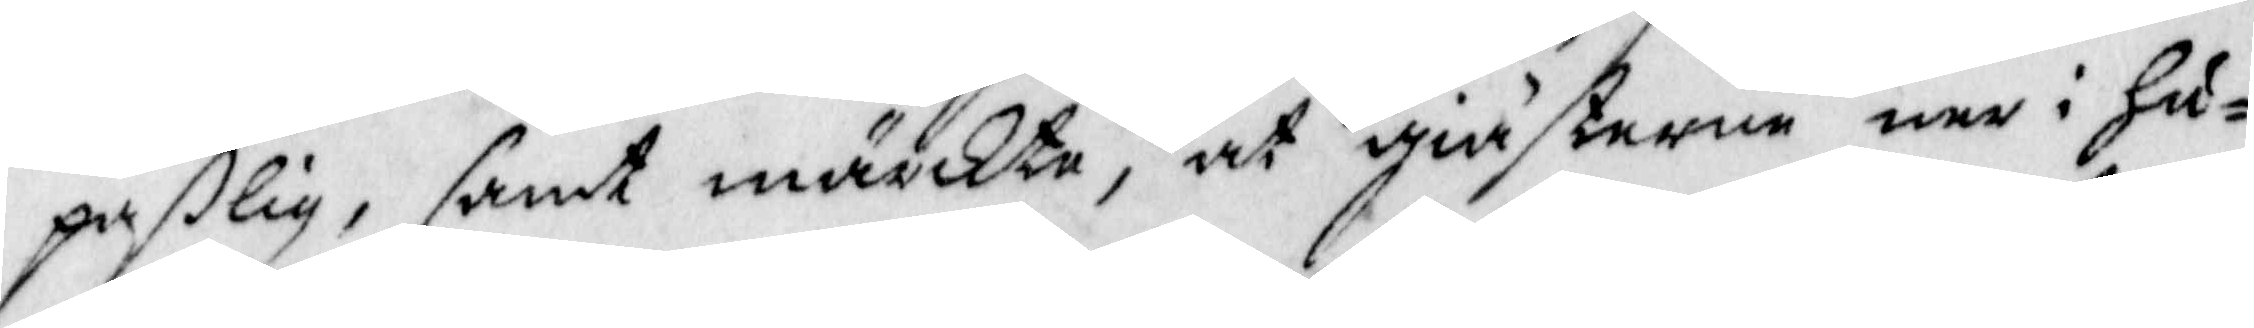paßlig, samt märkte, at giästerne ner i Hu¬
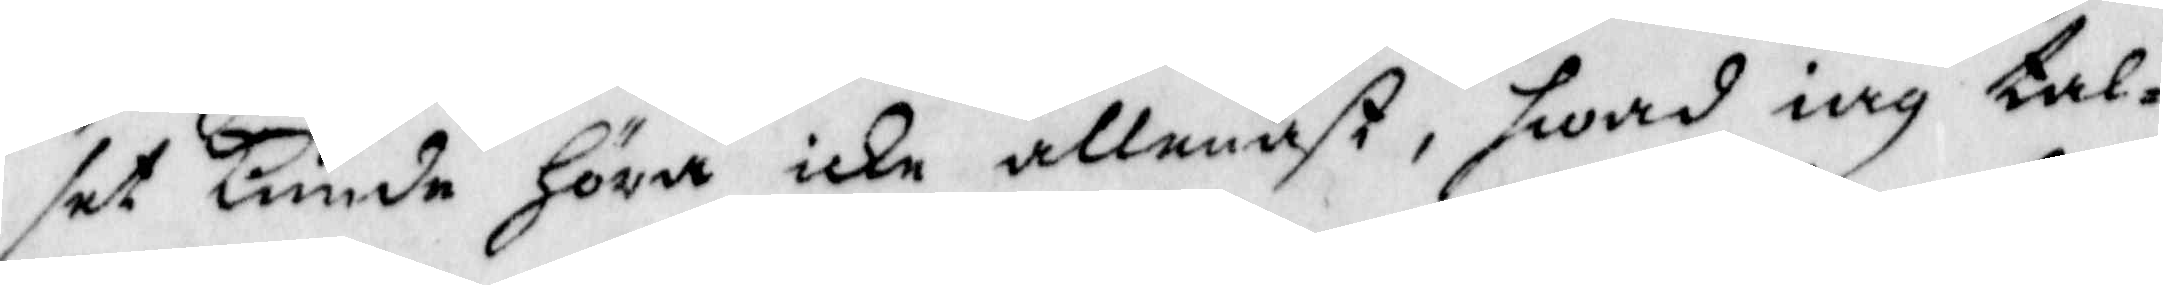set Kunde Höra icke allenast, Hwad iag ta¬
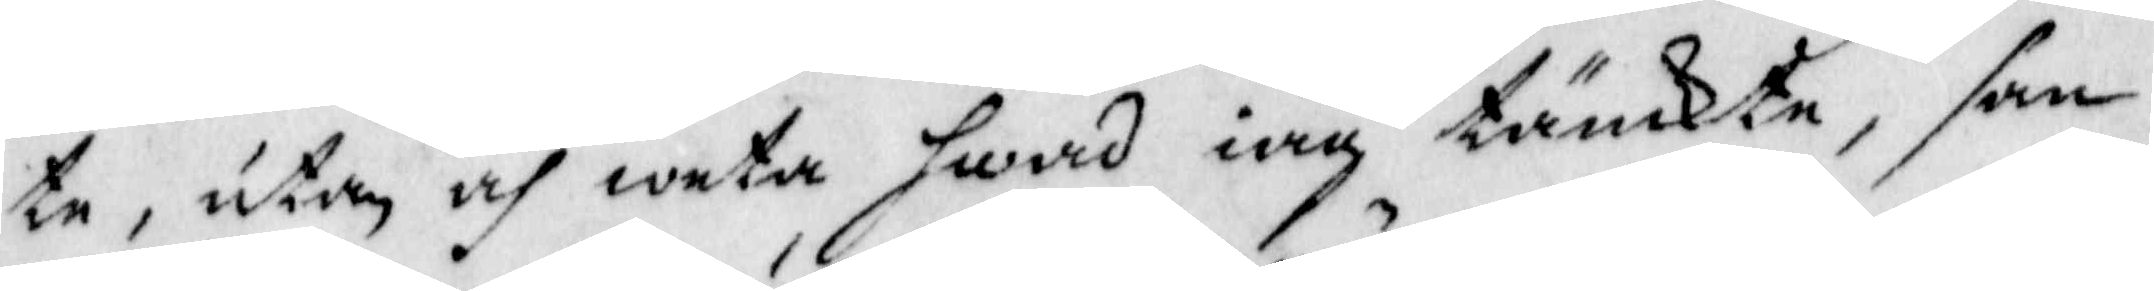te, utan och weta Hwad iag tänkte, san
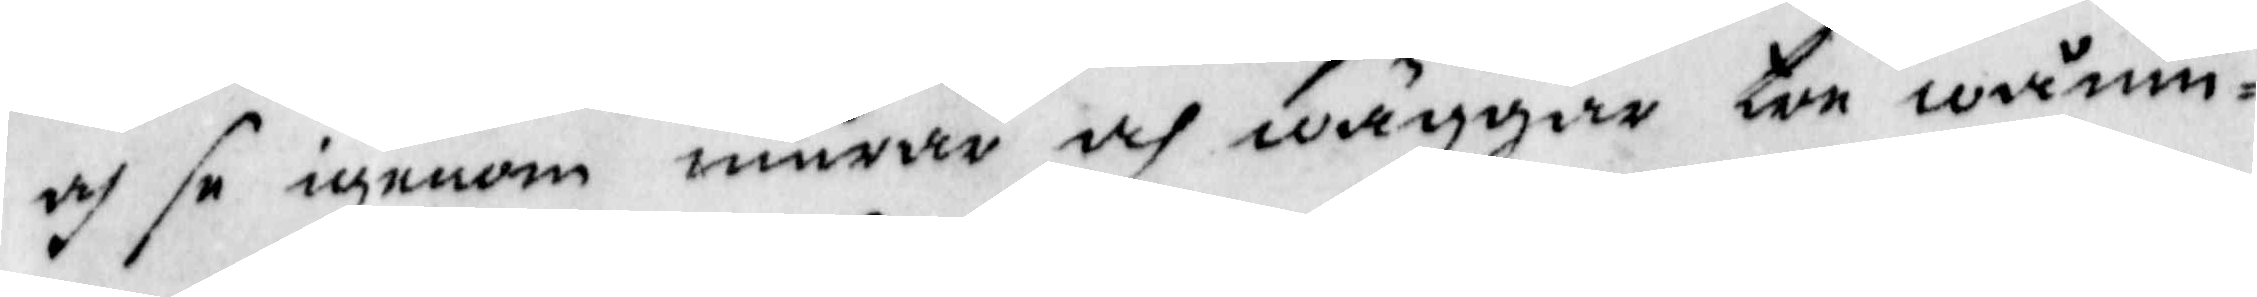och se igenom murar och wäggar tre wånin¬
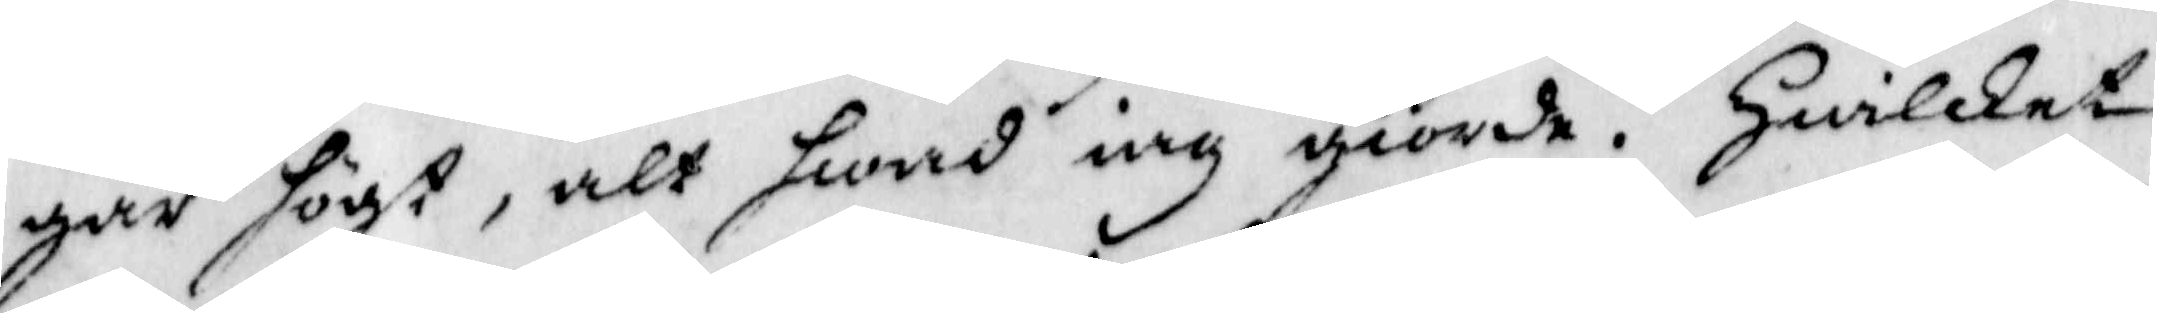gar högt, alt Hwad iag giorde. Hwilket
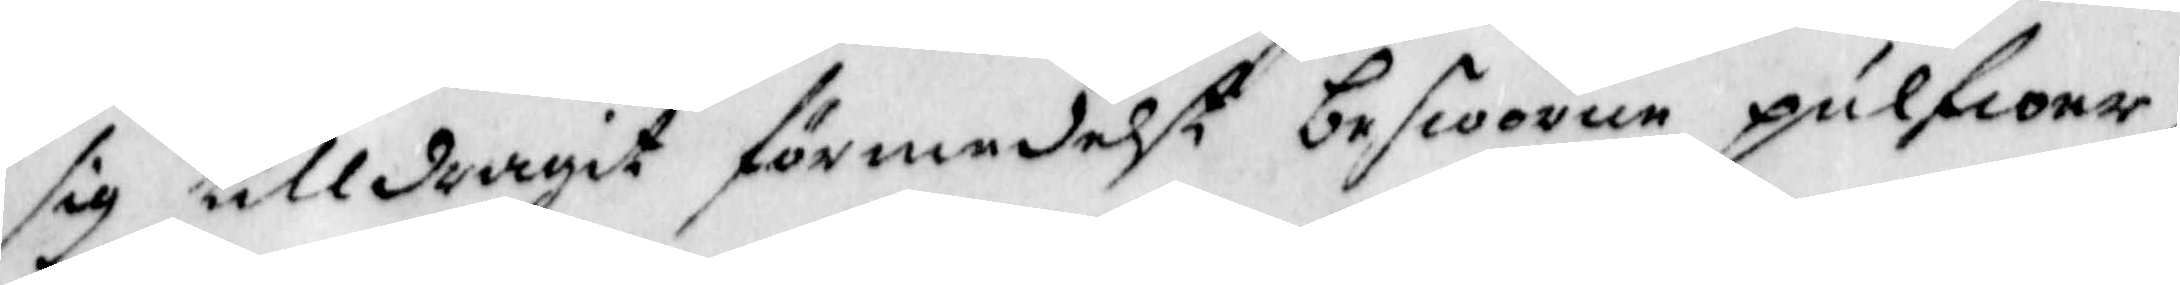sig tilldragit förmedelst besworen pulfioer,
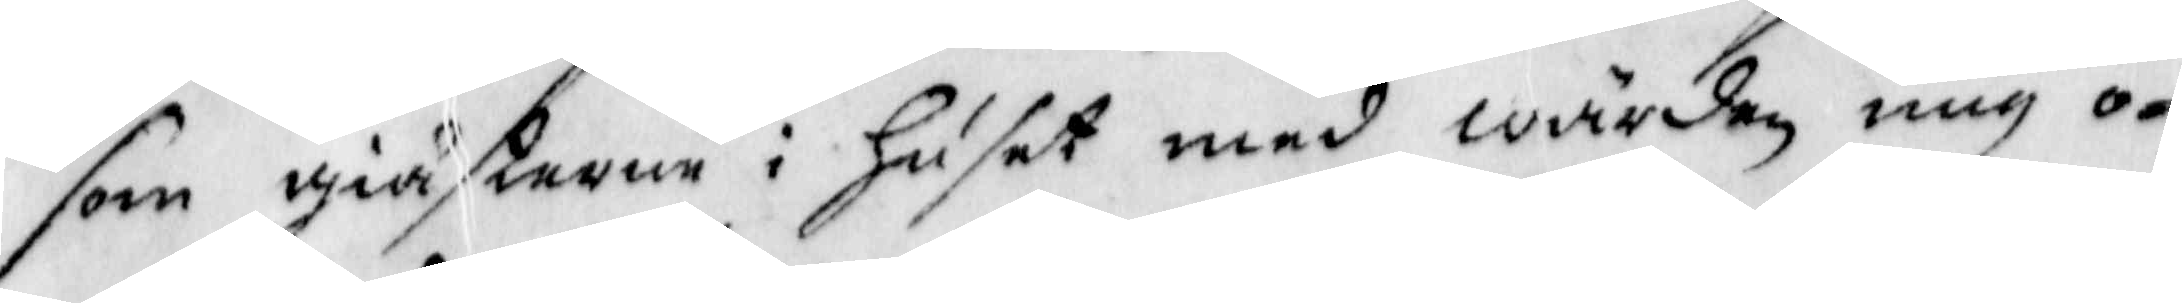som giästerne i Huset med wärden mig o¬
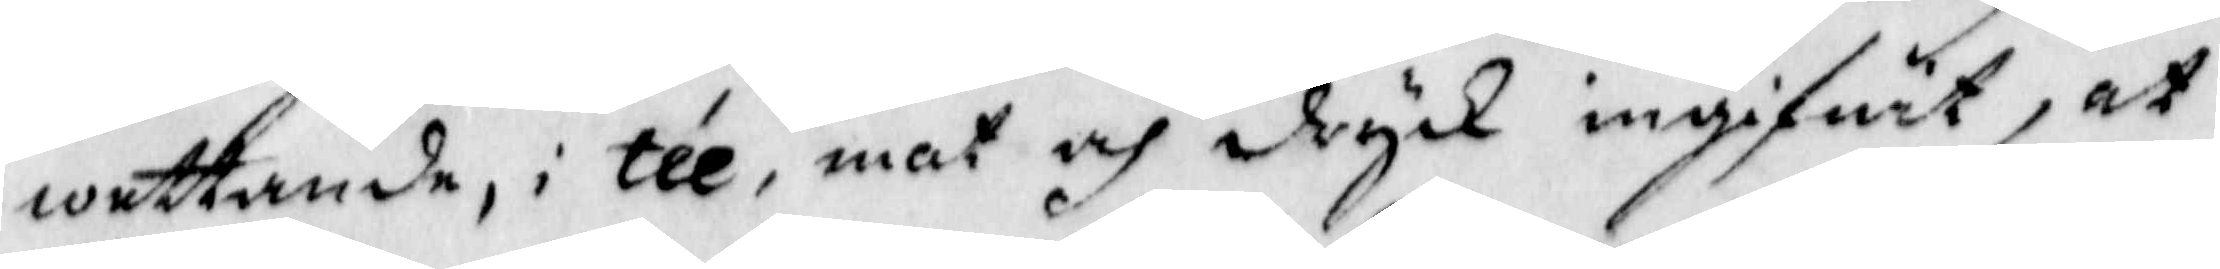wettande, i tée, mat och dryk ingifwit, at
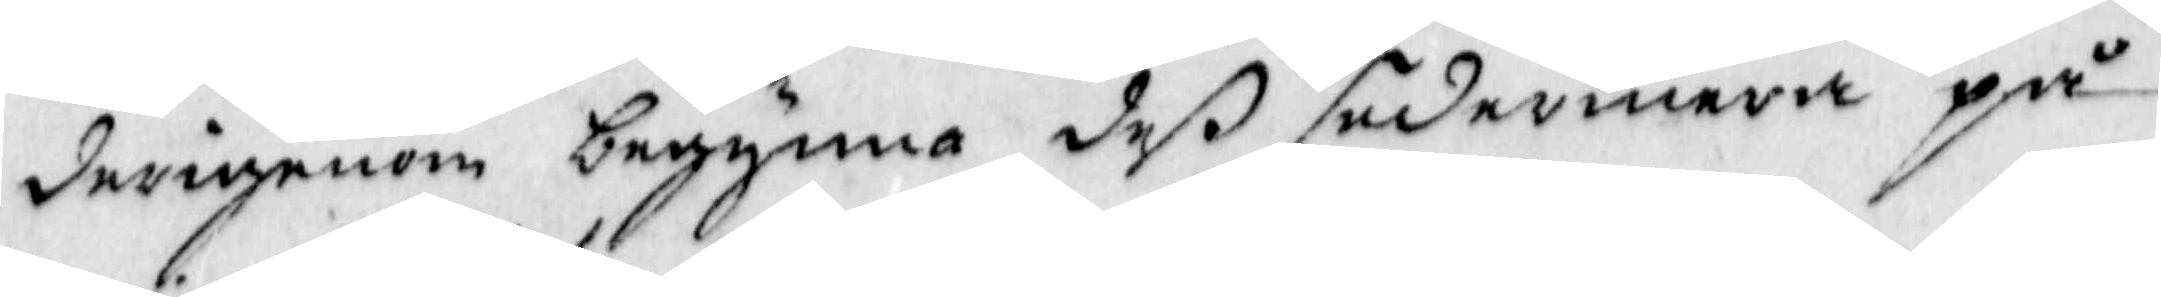derigenom begynna deß sedermera på
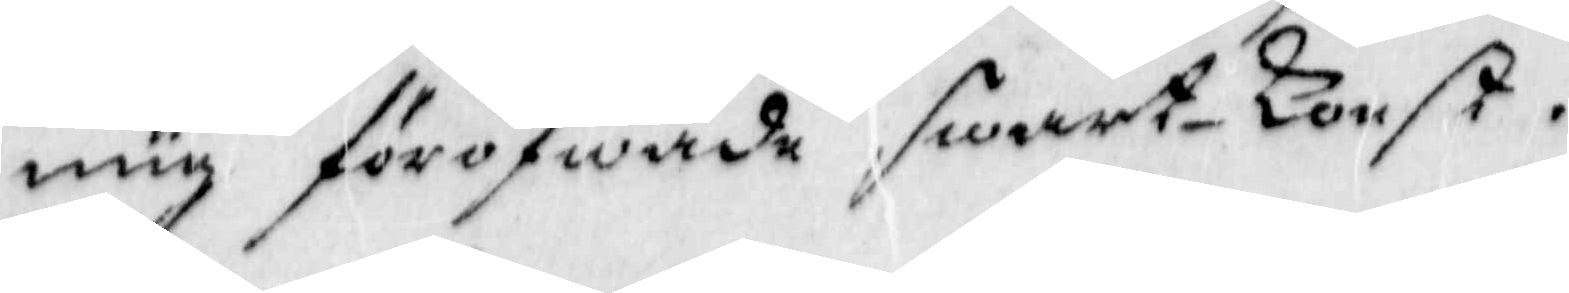mig föröfwade swart-Konst.
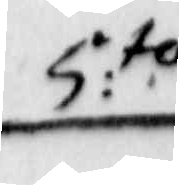5:to
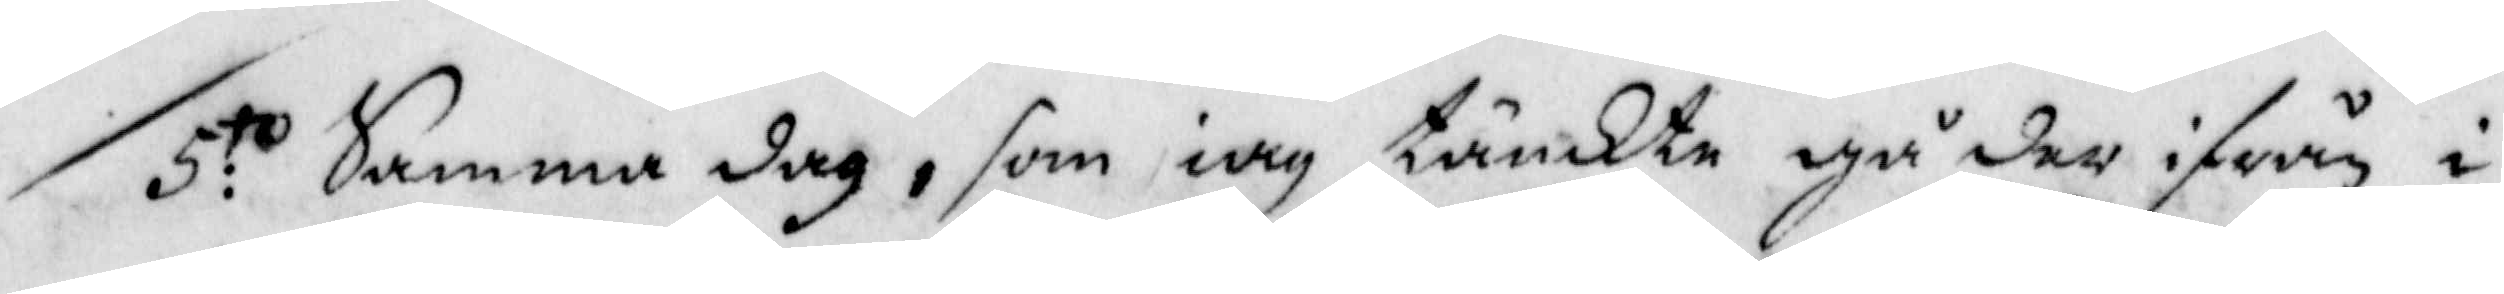5:to Samma dag, som iag tänkte gå der ifrån i
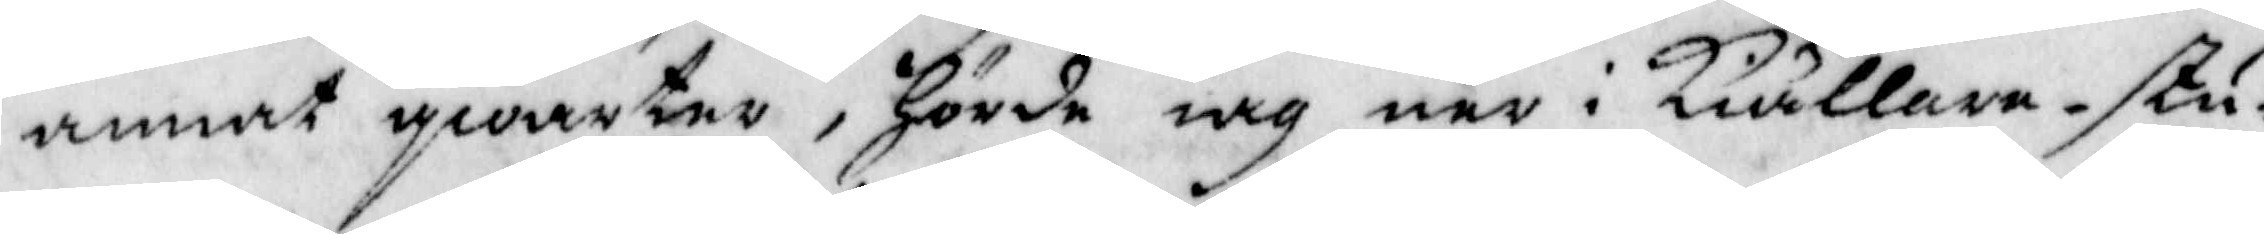annat qwarter, Hörde iag ner i Kiällare-stu¬
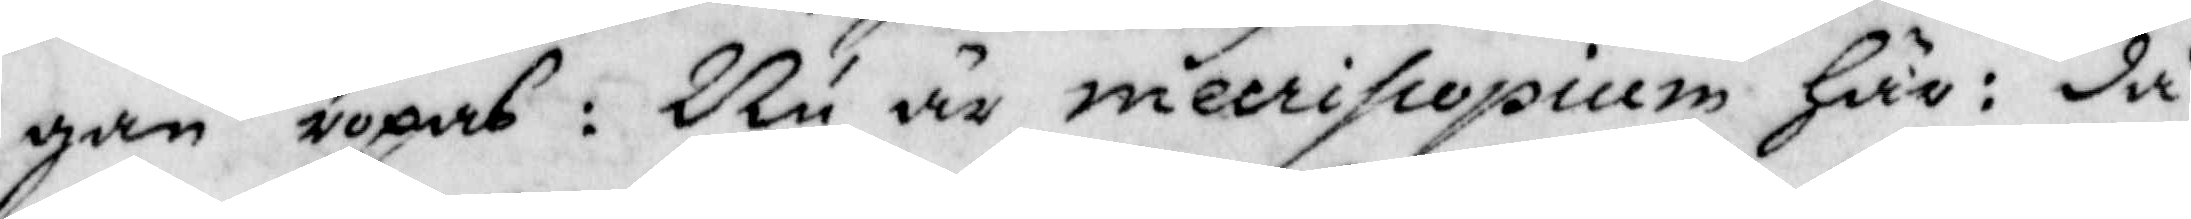gan ropas: Nu är mecripopium Här: då
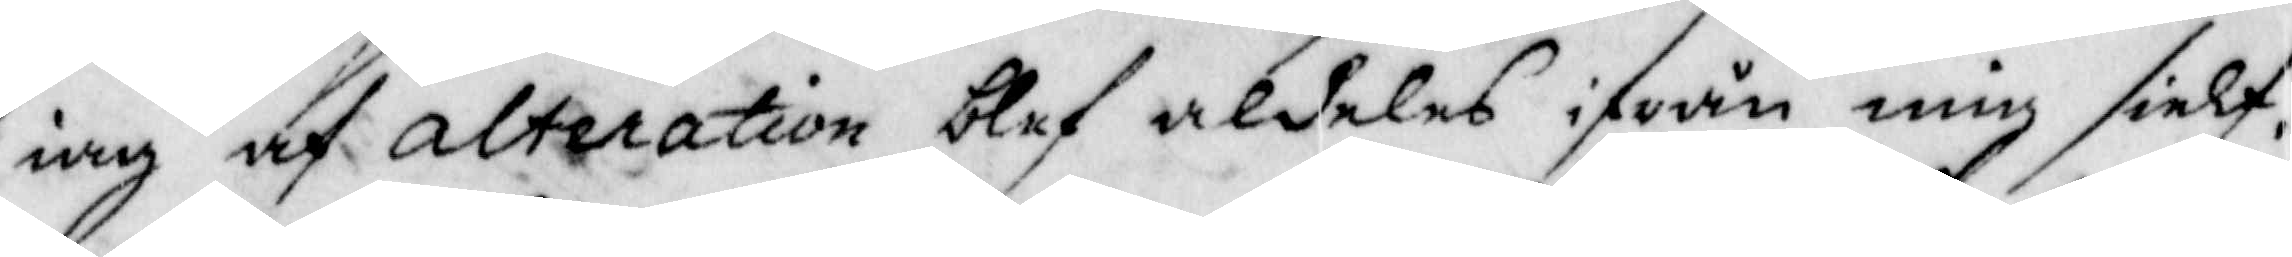iag af alteration blef aldeles ifrån mig sielf
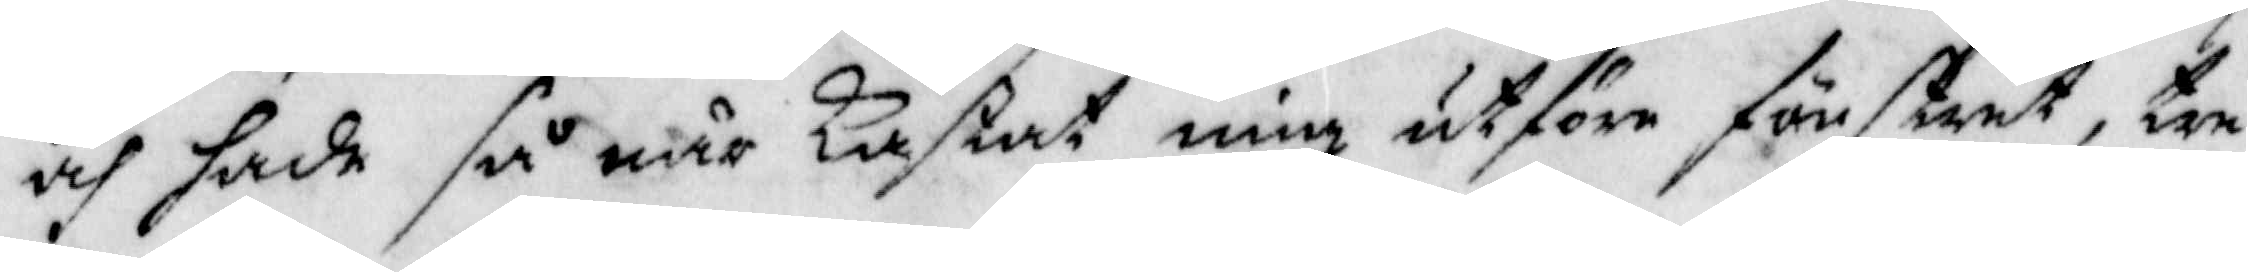och hade så när kastat mig utföre förnstret, tre
